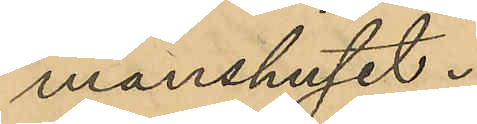manshuset.
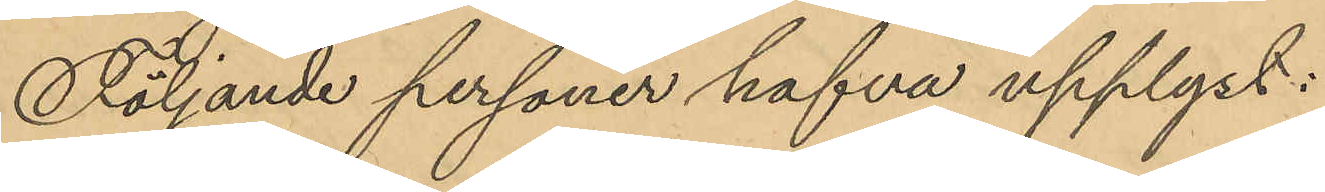Följande personer hafva upplyst:
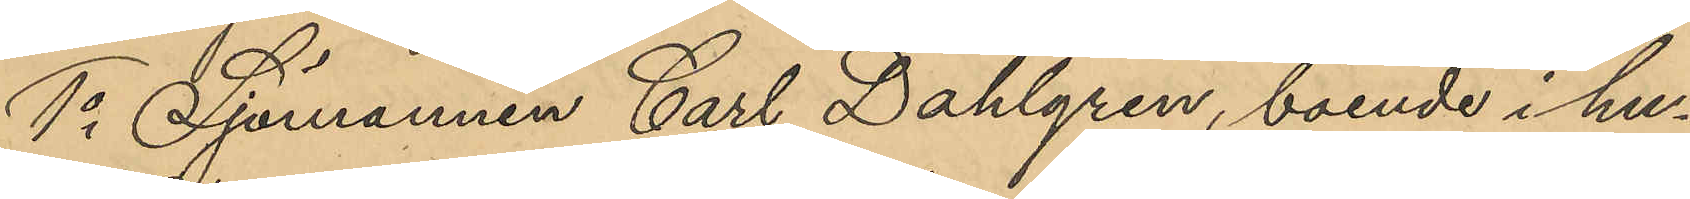1o Sjömannen Carl Dahlgren, boende i hu¬
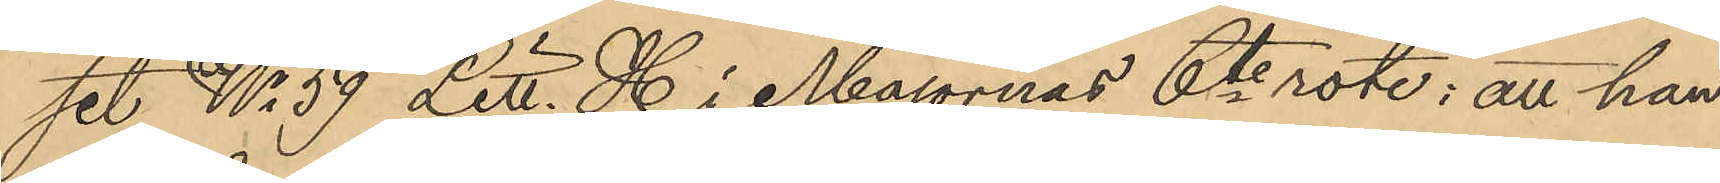set No 59 Litt. H i Majornas 6te rote: att han,
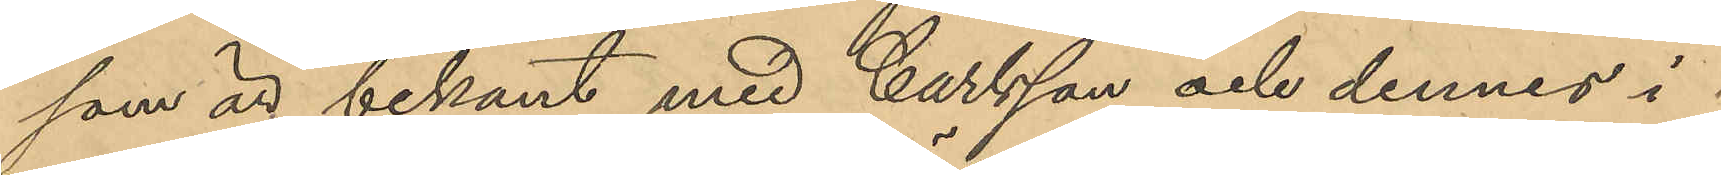som är bekant med Carlsson och dennes i
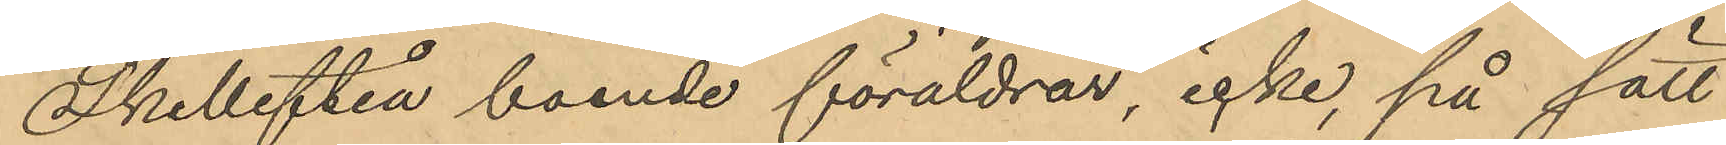Skellefteå boende föräldrar, icke, på sätt
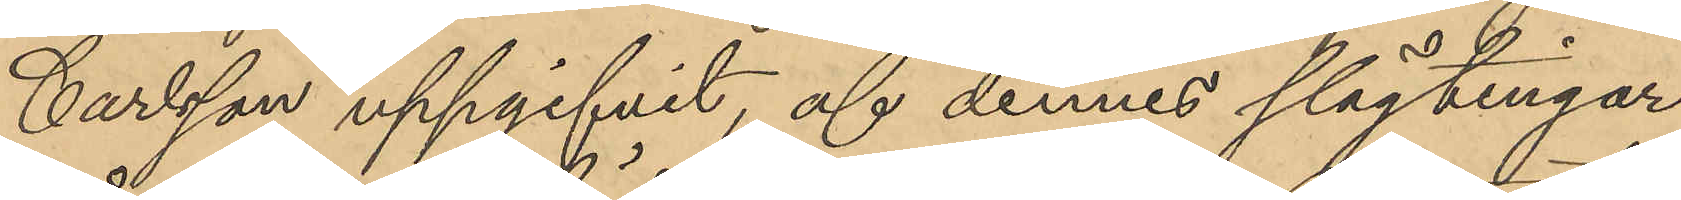Carlsson uppgifvit, af dennes slägtingar
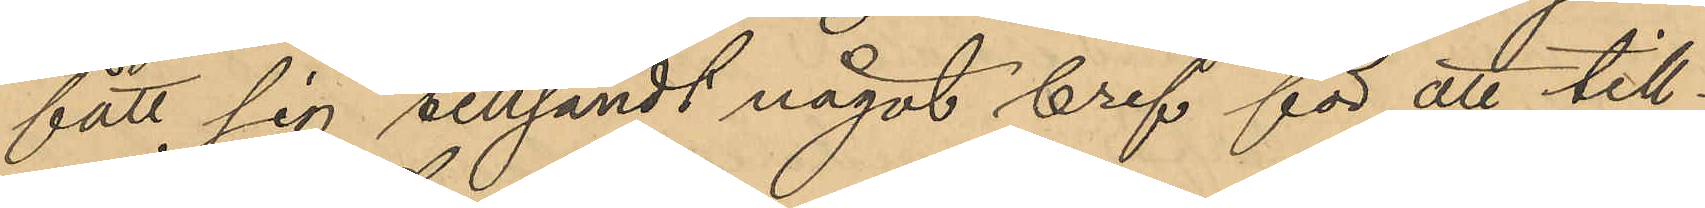fått sig tillsändt något bref för att till¬
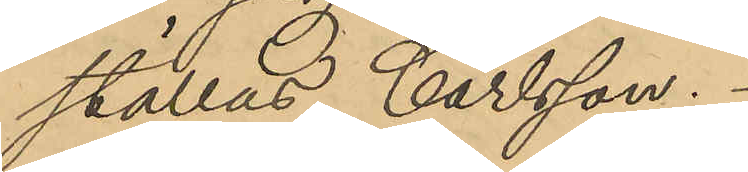ställas Carlsson.
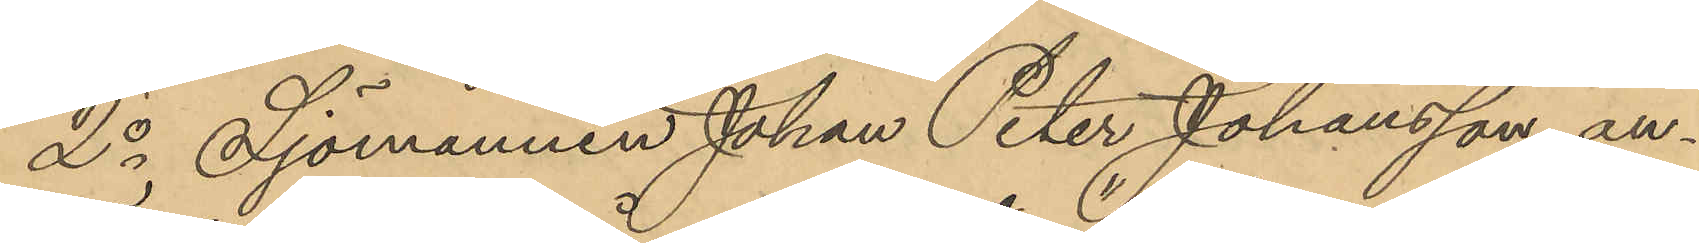2o Sjömannen Johan Peter Johansson an¬
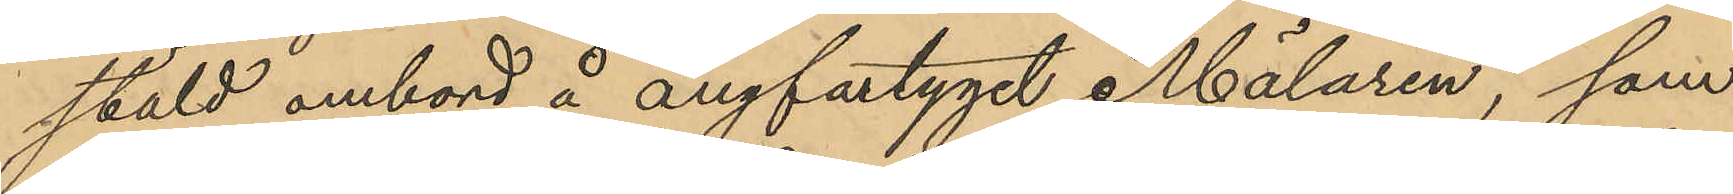stäld ombord å ångfartyget "Mälaren", som
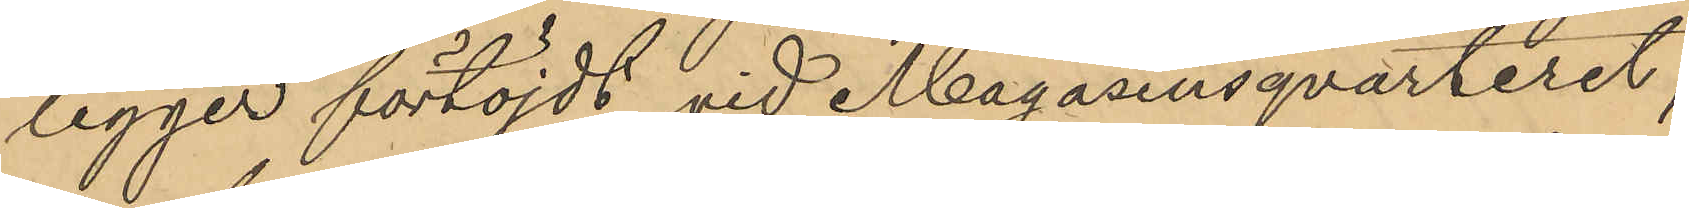ligger förtöjdt vid Magasinsqvarteret;
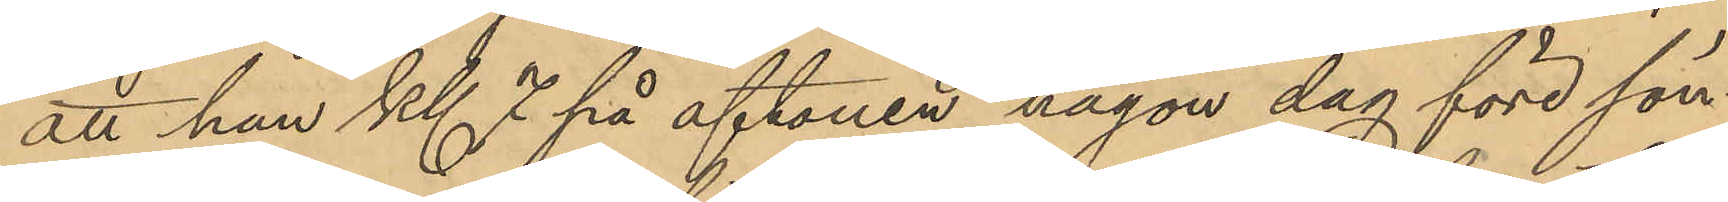att han kl. 7 på aftonen någon dag före sön¬
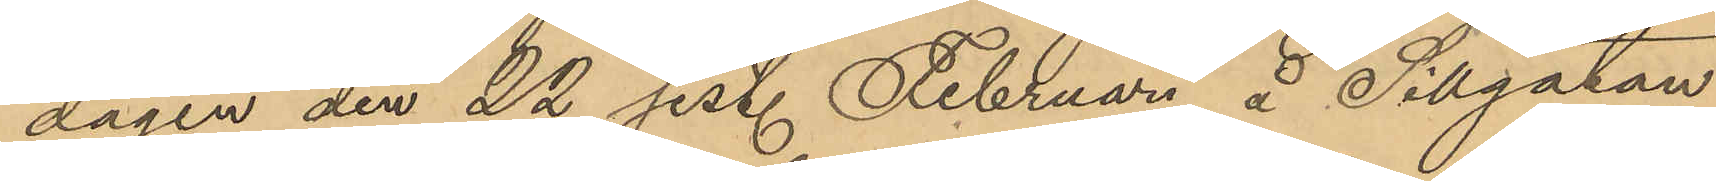dagen den 22 sist. Februari å Sillgatan
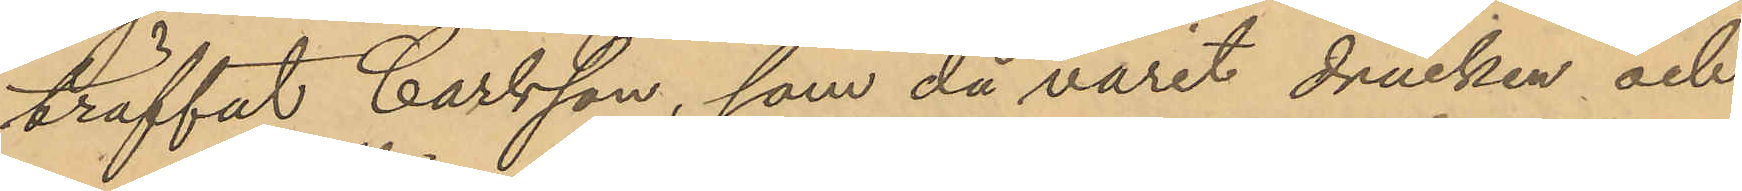träffat Carlsson, som då varit drucken och
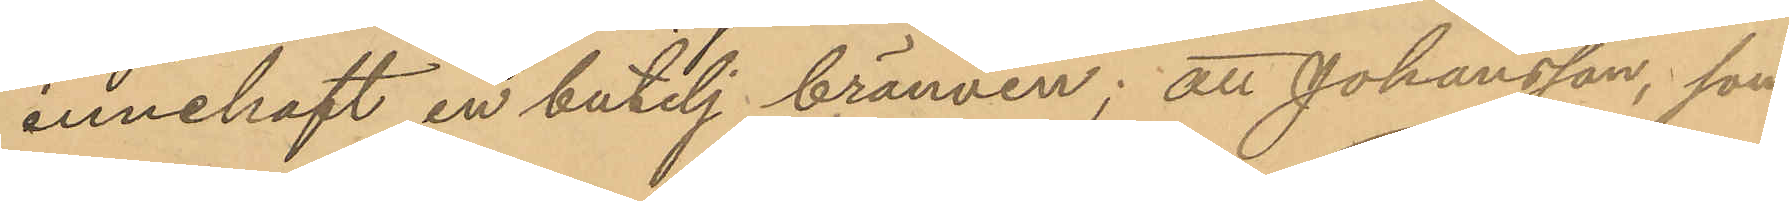innehaft en butelj brännvin; att Johansson, som
